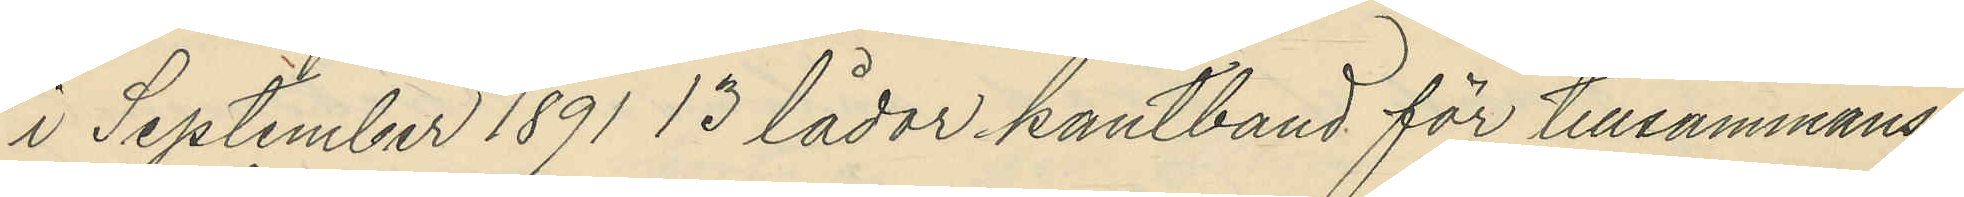i September 1891 13 lådor kantband för tillsammans
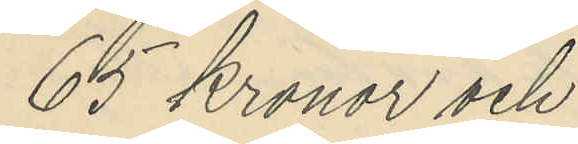65 kronor och
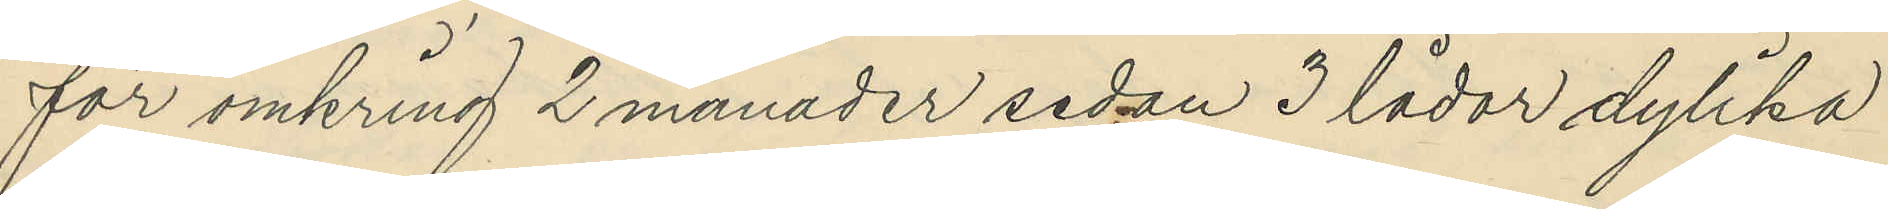för omkring 2 månader sedan 3 lådor dylika
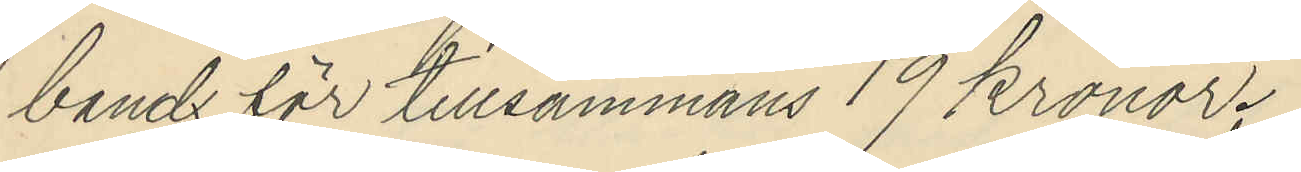band för tillsammans 19 kronor.
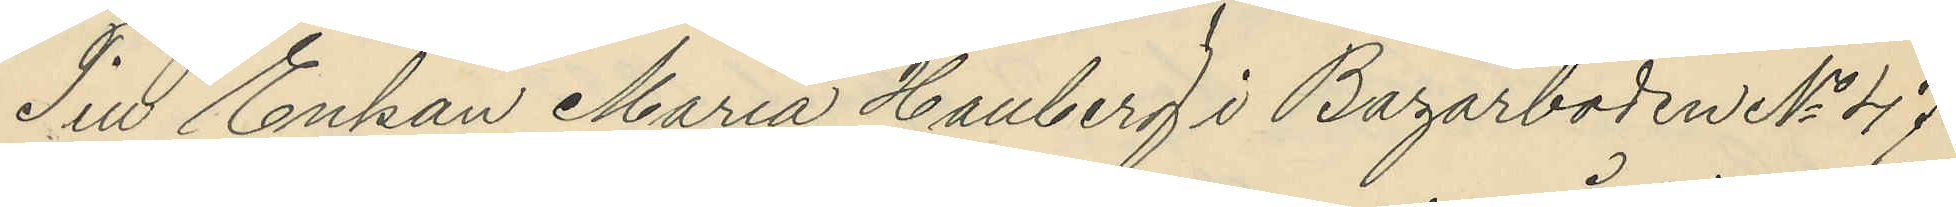Till Enkan Maria Hallberg i Bazarboden No 47
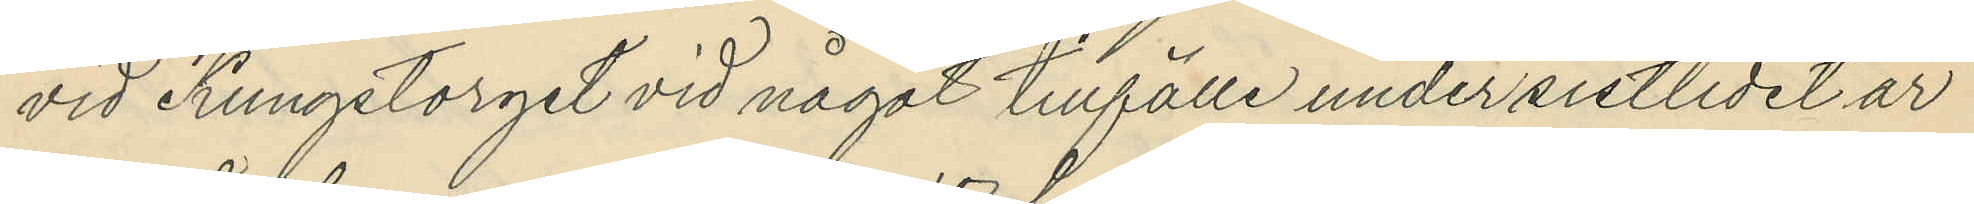vid Kungstorget vid något tillfälle under sistlidet år
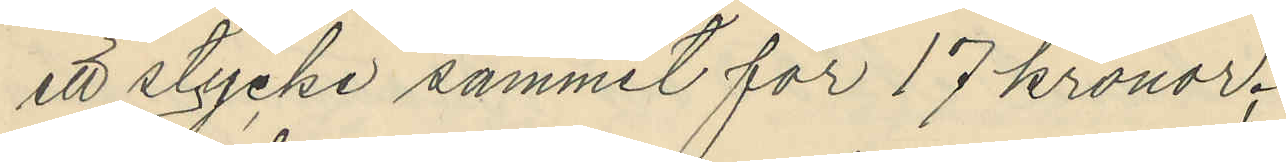ett stycke sammet för 17 kronor;
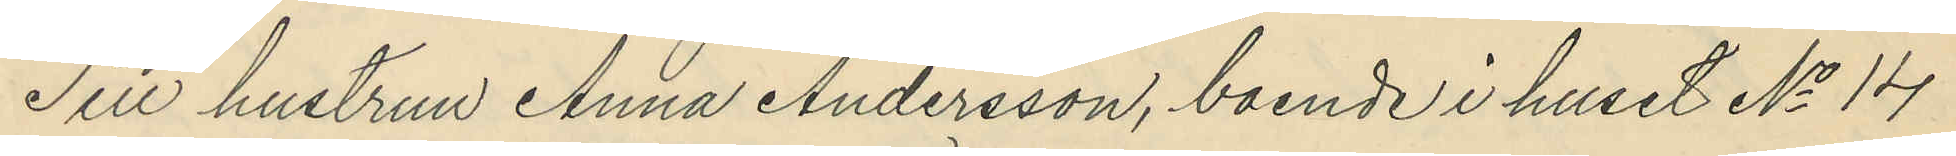Till hustrun Anna Andersson, boende i huset No 14
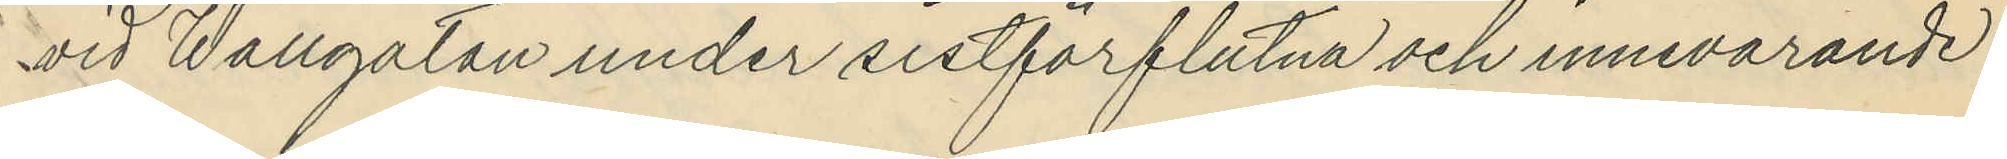vid Wallgatan under sistförflutna och innevarande
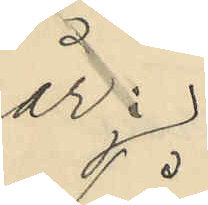år:
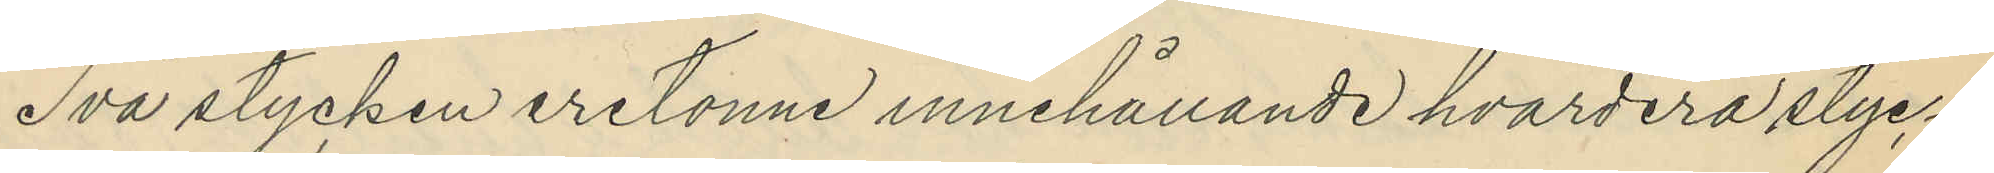Två stycken eretonne innehållande hvardera styc¬
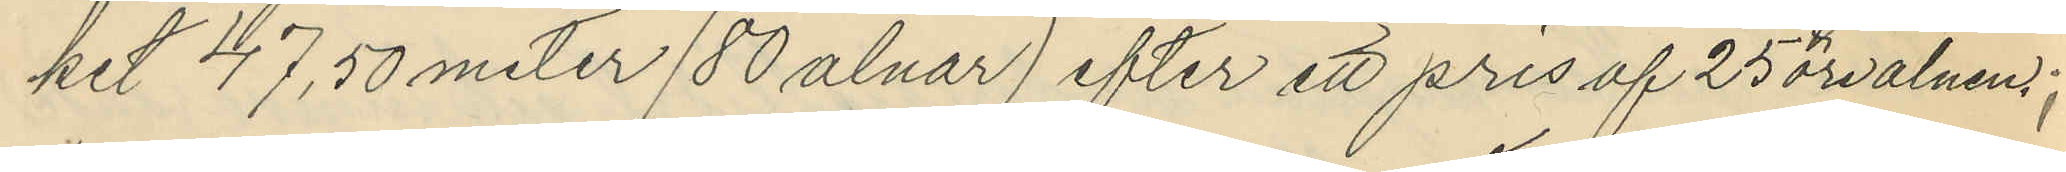ket 47,50 meter (80 alnar) efter ett pris af 25öre alnen;
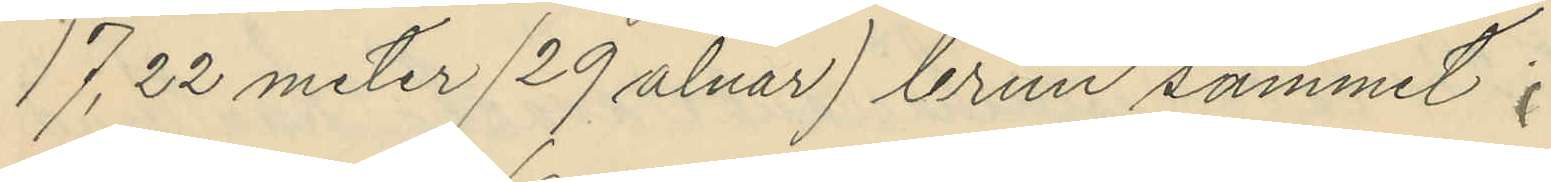17,22 meter (29 alnar) brun sammet;
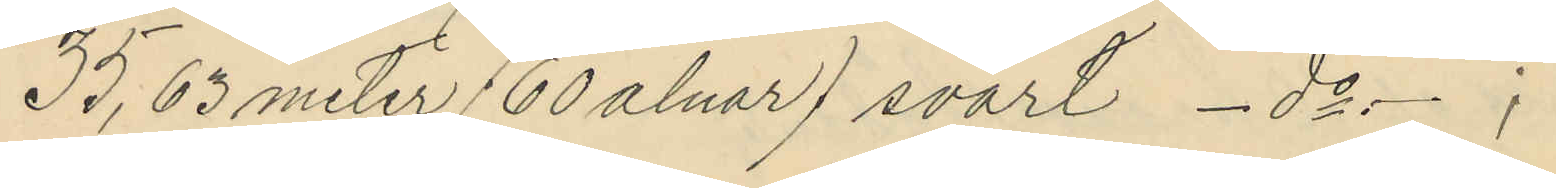35,63 meter (60 alnar) svart - do -;
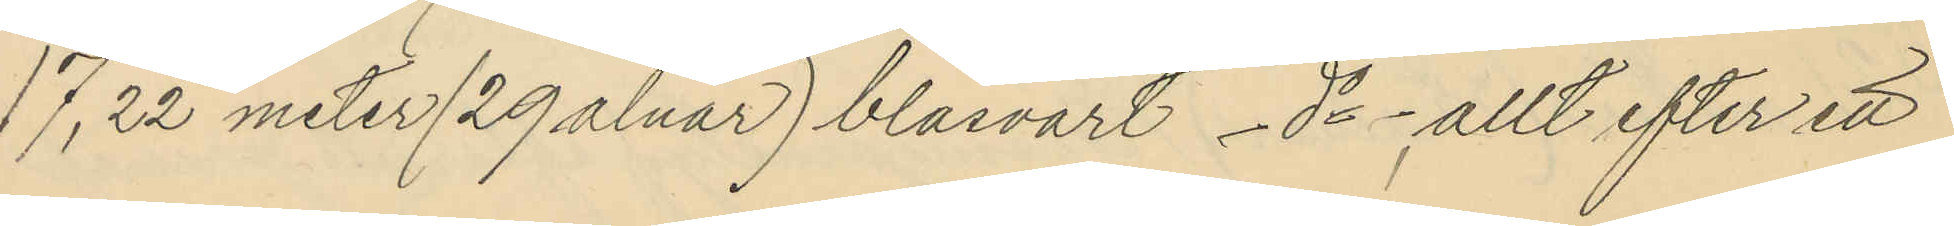17,22 meter (29 alnar) blåsvart - do - allt efter ett
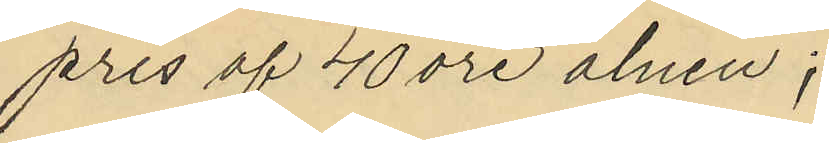pris af 40 öre alnen;
